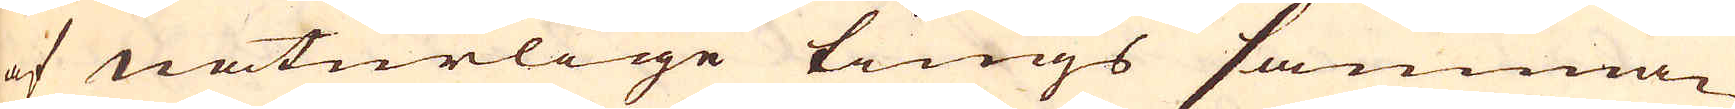af naturlige tings samman-
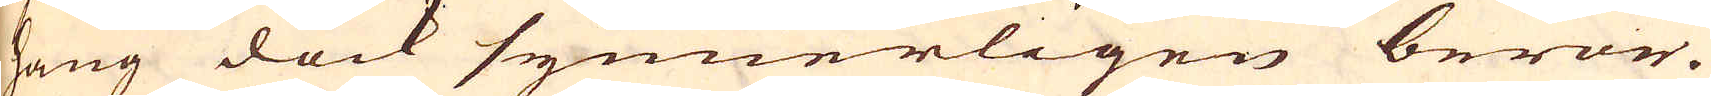hang dock synnerligen beror.
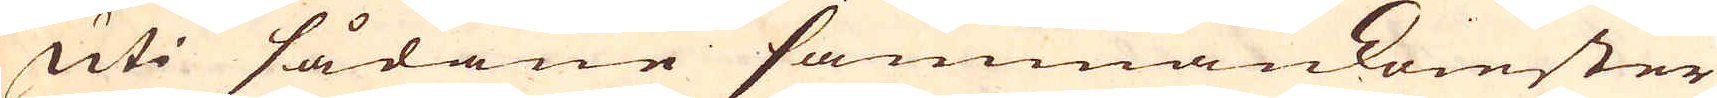Uti sådane sammankomster
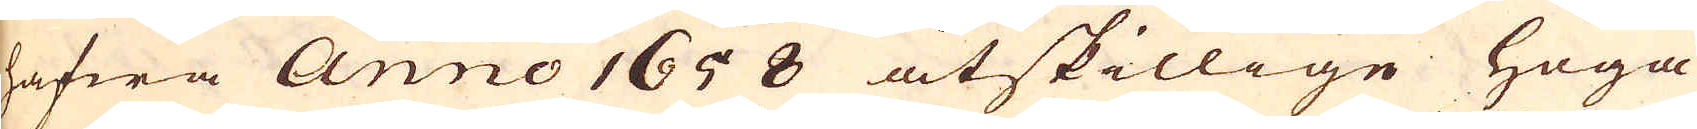hafwa Anno 1658 åtskillige höga
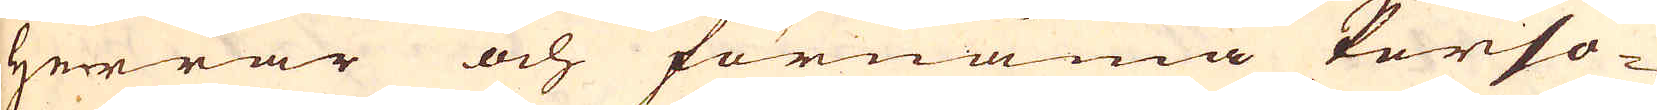Herrar och förnäma Perso-
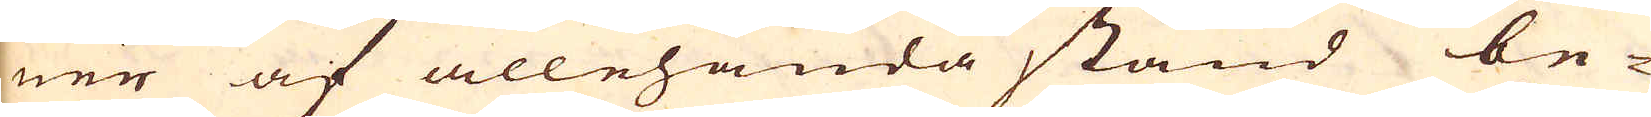ner af allehanda stånd be-
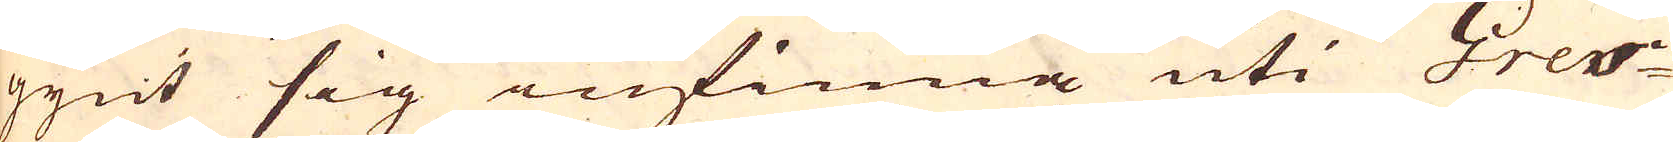gynt sig infinna uti Gres-
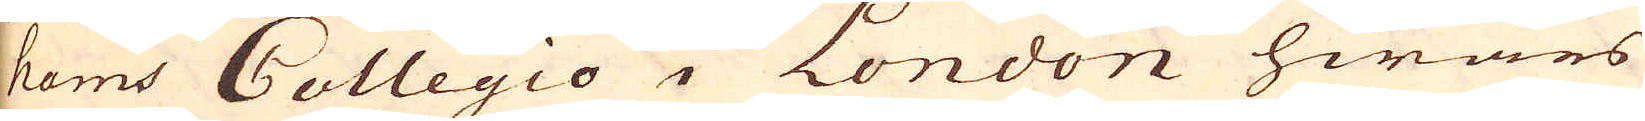hams Collegio i London hwars
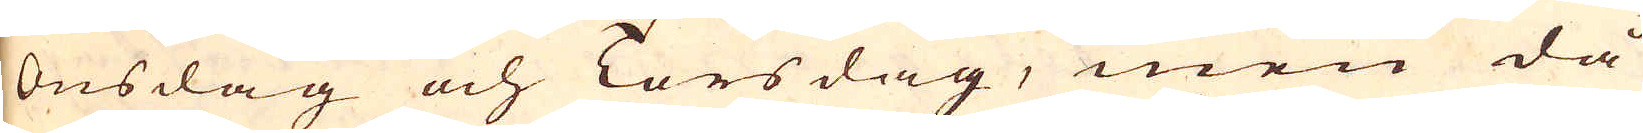Onsdag och Torsdag, men då
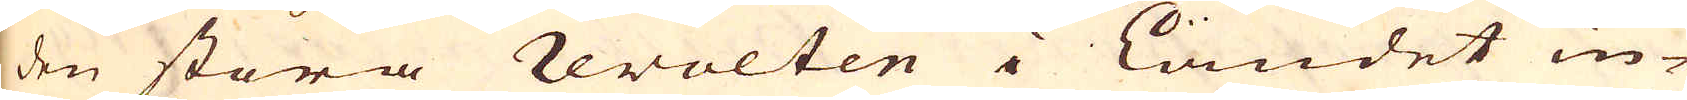den stora revolten i Landet in-
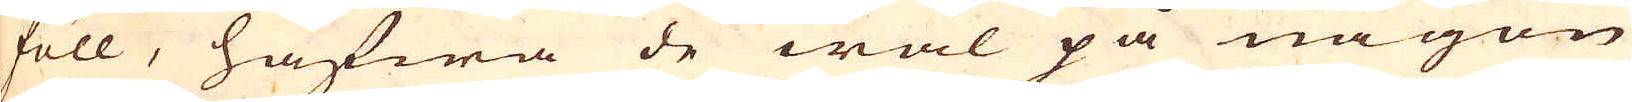föll, hafwa de wäl på någon
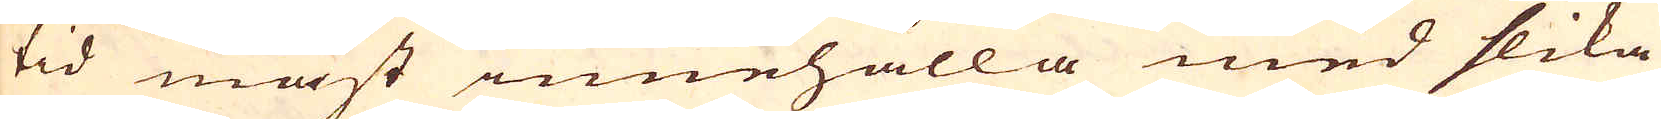tid måst innehålla med slika
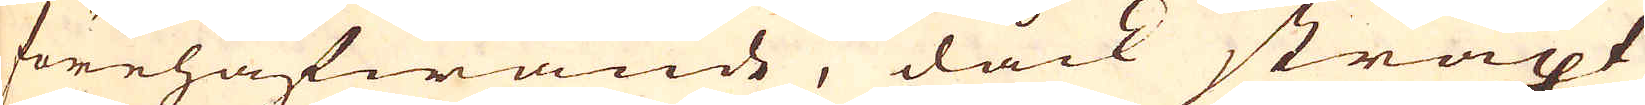förehafwande, dåck straxt
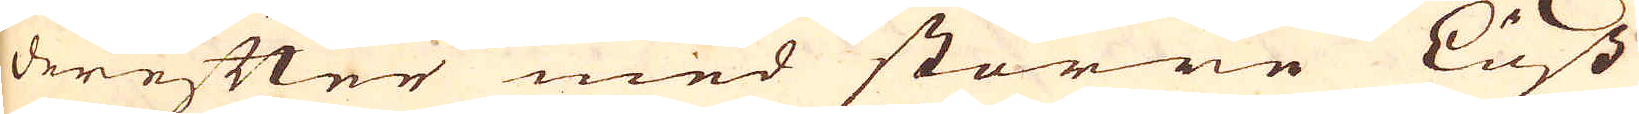derefter med större Lust
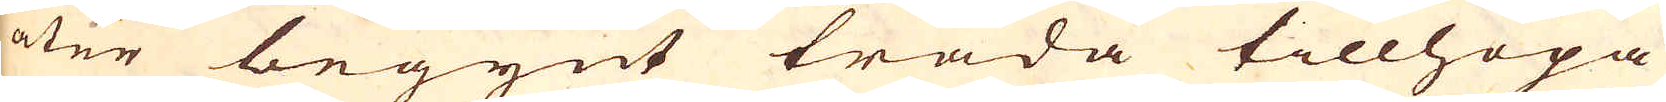åter begynt träda tillhopa
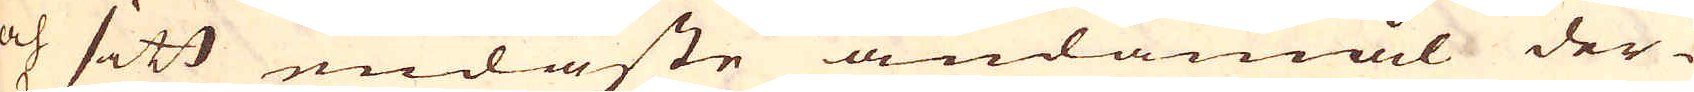och sitt endaste ändamål der-
